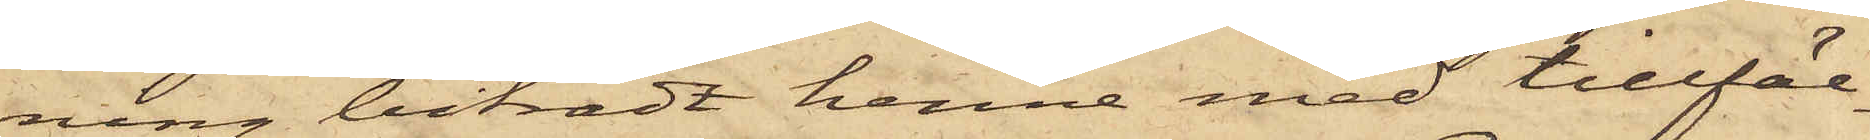ning biträdt henne med tillfäl¬
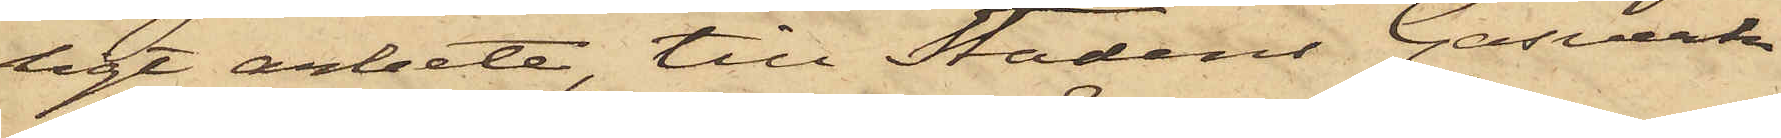ligt arbete, till Stadens Gasverk
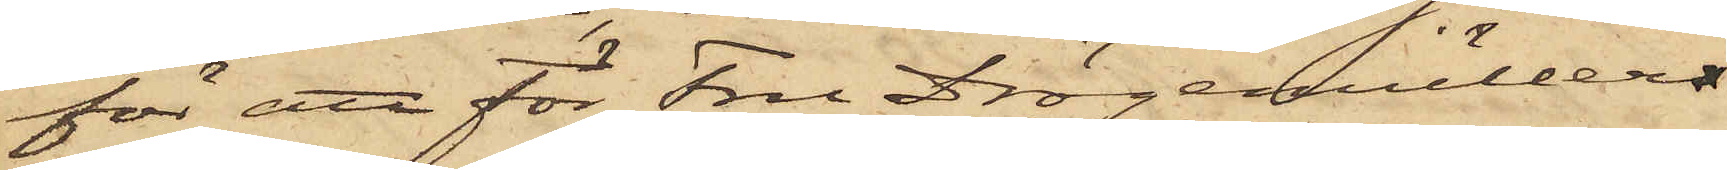för att för Fru Drögemüllers
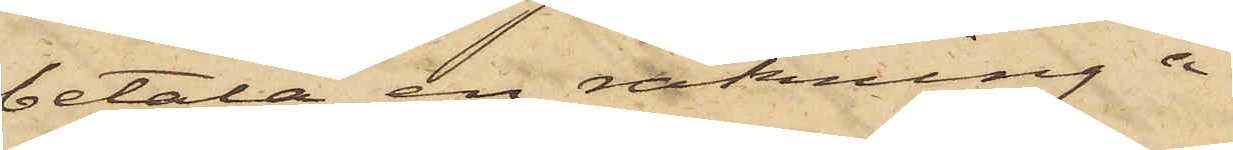betala en räkning å
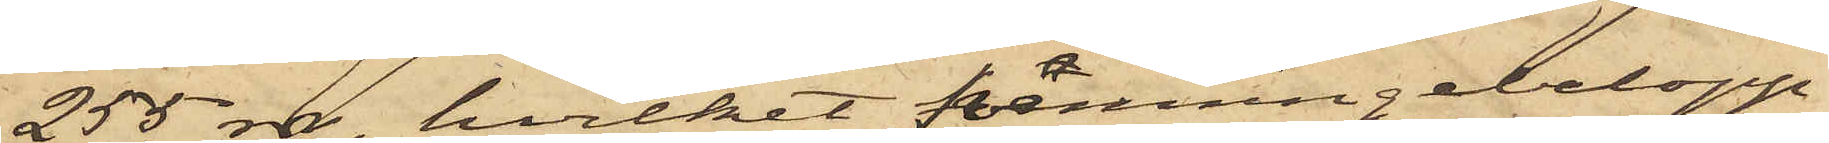255 rdr, hvilket penningebelopp
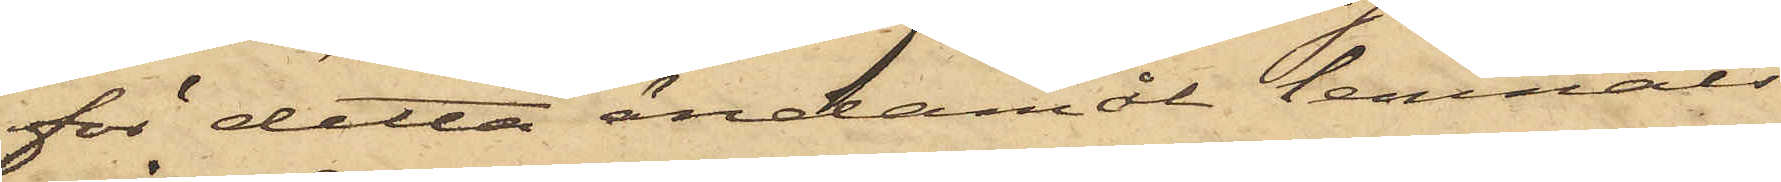för detta ändamål lemnats
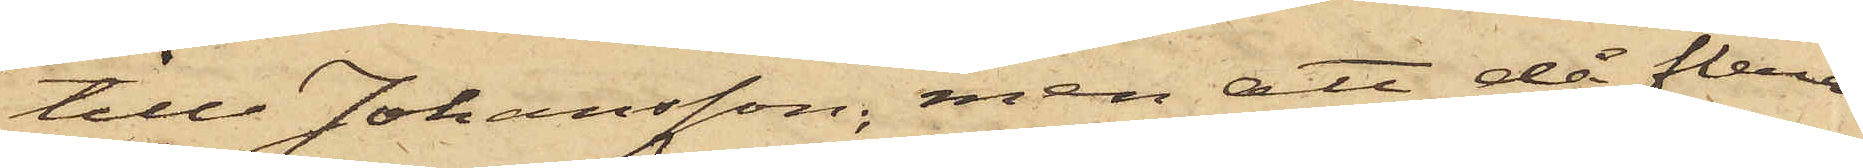till Johansson, men att då flera
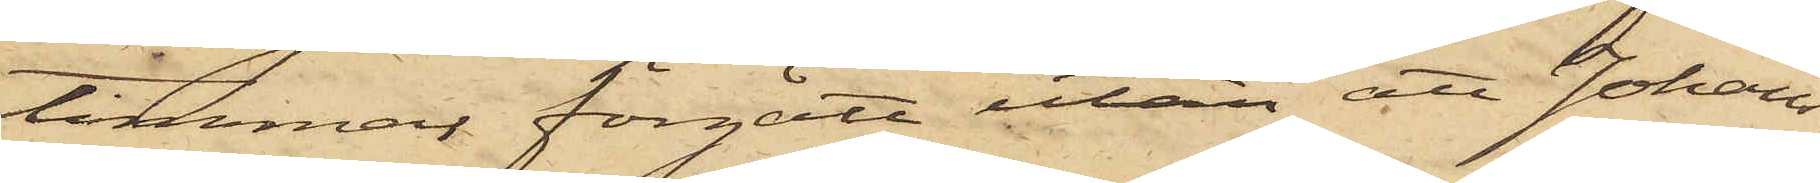timmar förgått utan att Johans¬
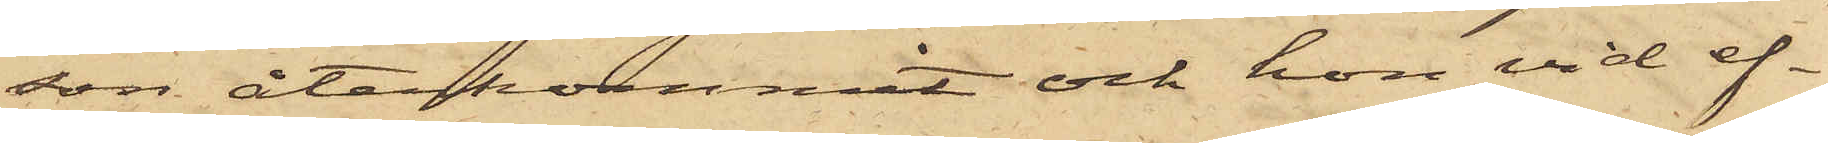son återkommit och hon vid ef¬
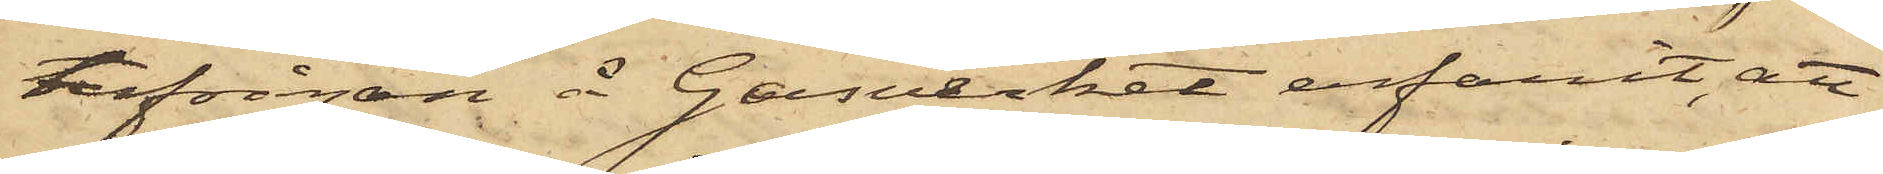terfrågan å Gasverket erfarit, att
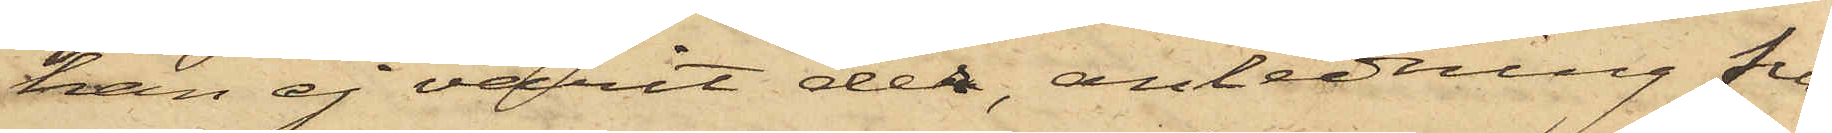han ej varit der, anledning fun¬
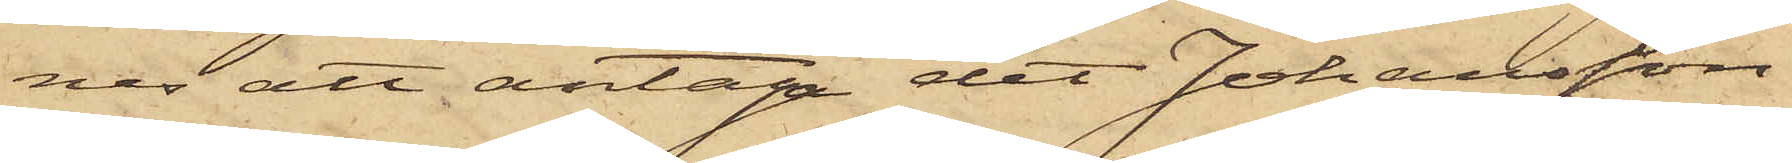nes att antaga det Johansson
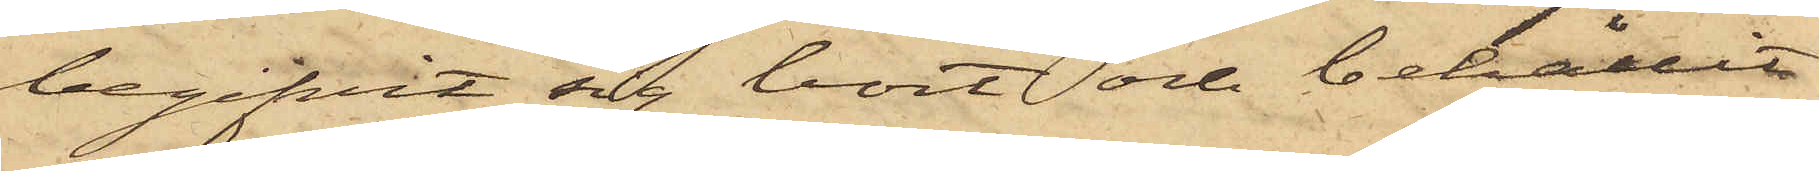begifvit sig bort och behållit
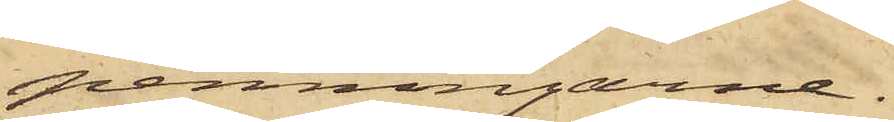penningarne.
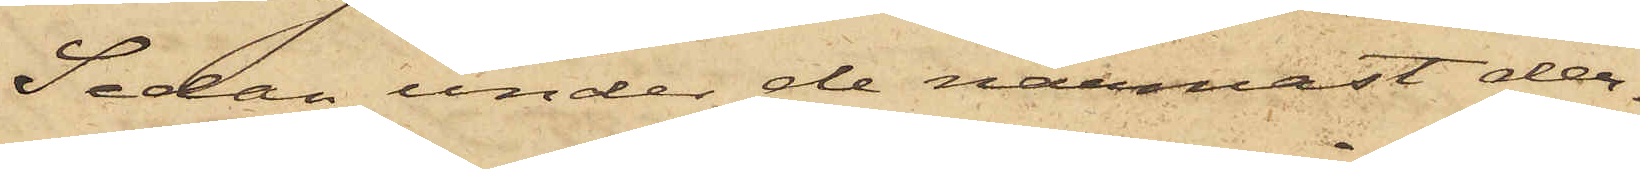Sedan under de närmast der¬
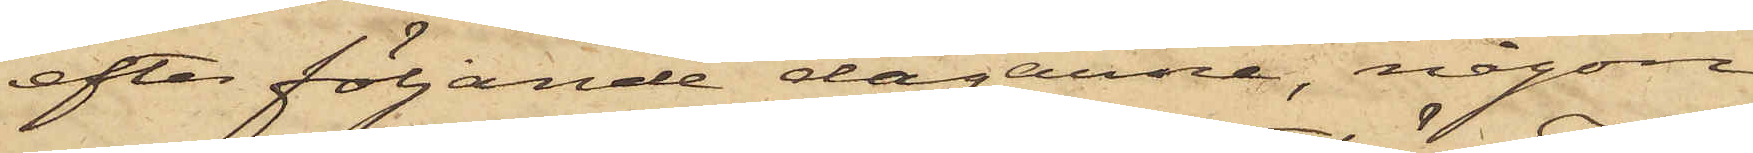efter följande dagarna, någon
